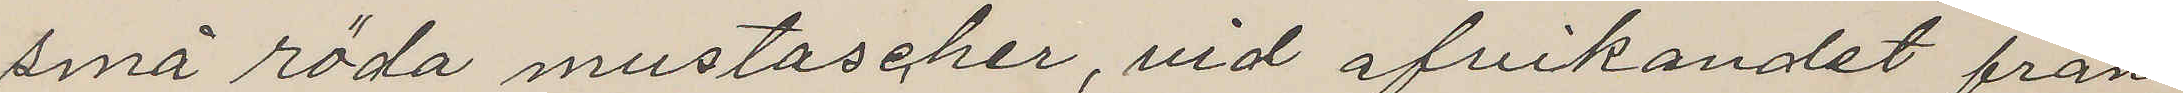små röda mustascher, vid afvikandet från
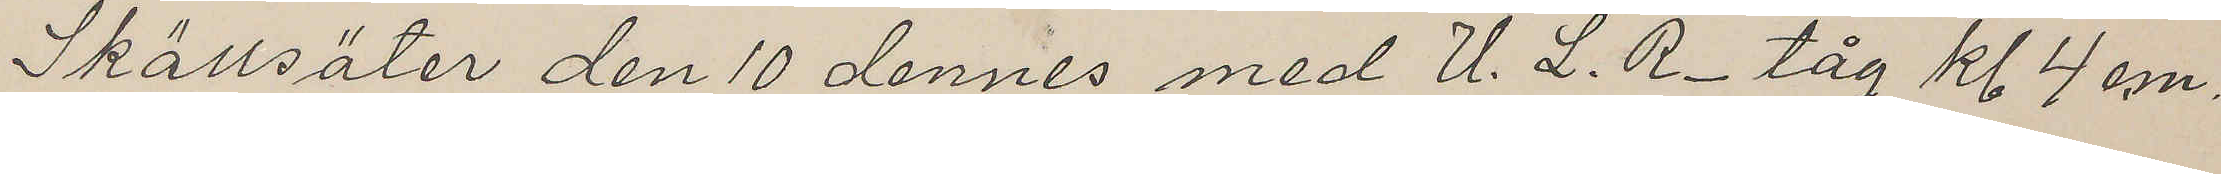Skällsäter den 10 dennes med U. L. R- tåg kl 4 em.
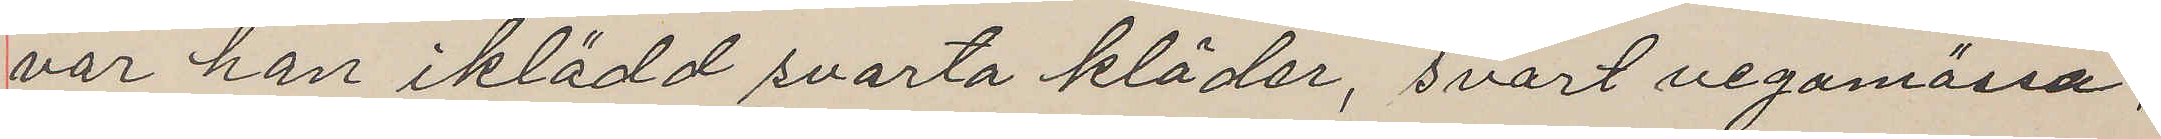var han iklädd svarta kläder, svart vegamössa,
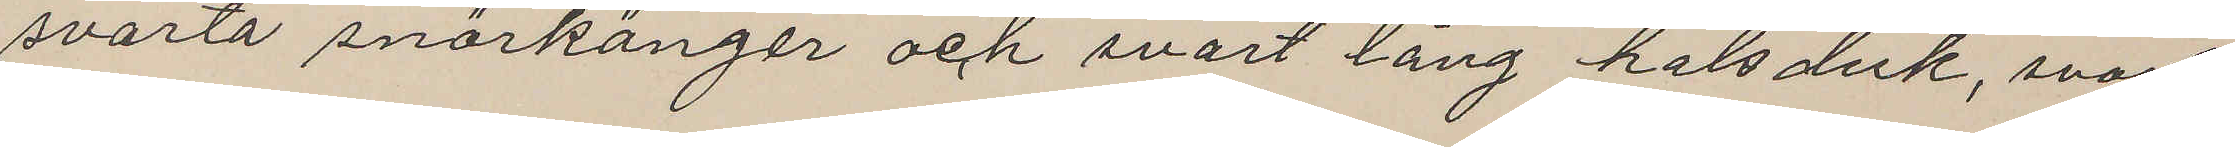svarta snörkänger och svart lång halsduk, svart
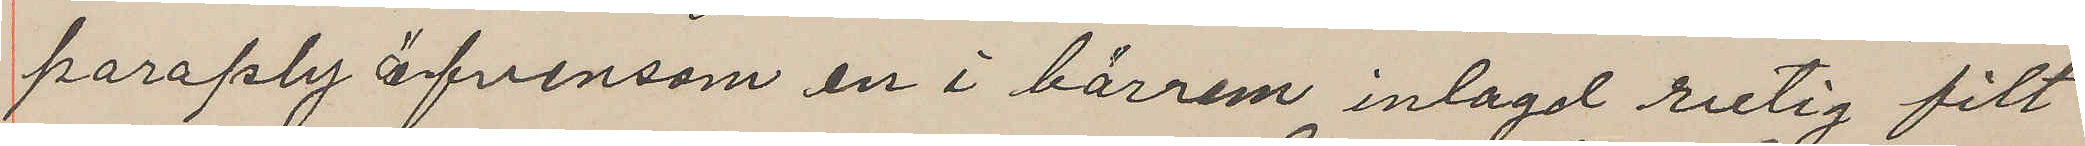parapty äfvensom en i bärrem inlagd rutig filt
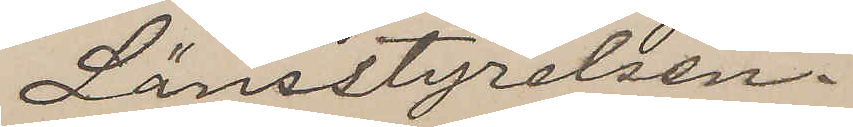Länsstyrelsen.
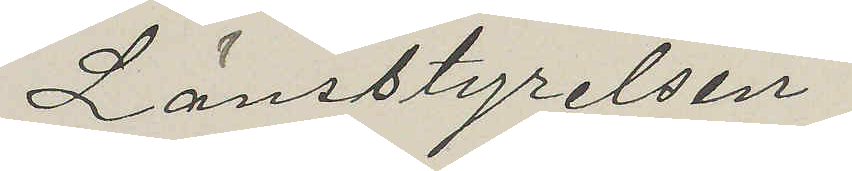Länsstyrelsen.
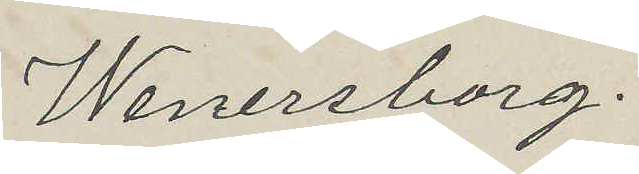Wenersborg.
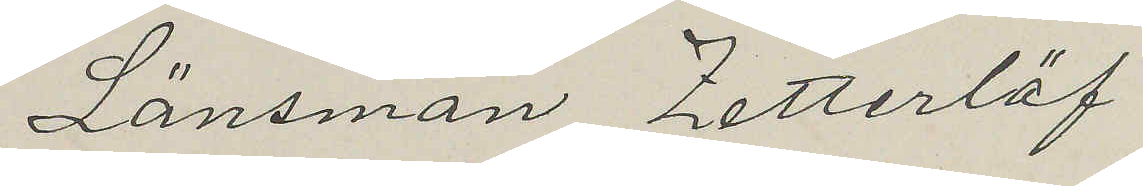Länsman Zetterlöf
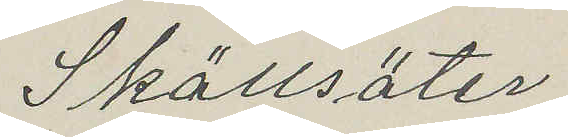Skällsäter.
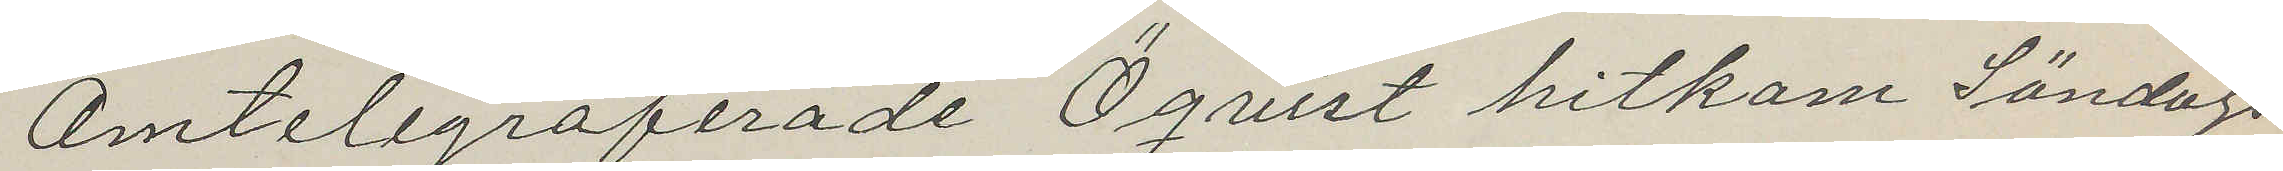Omtelegraferade Öquist hitkom Söndags
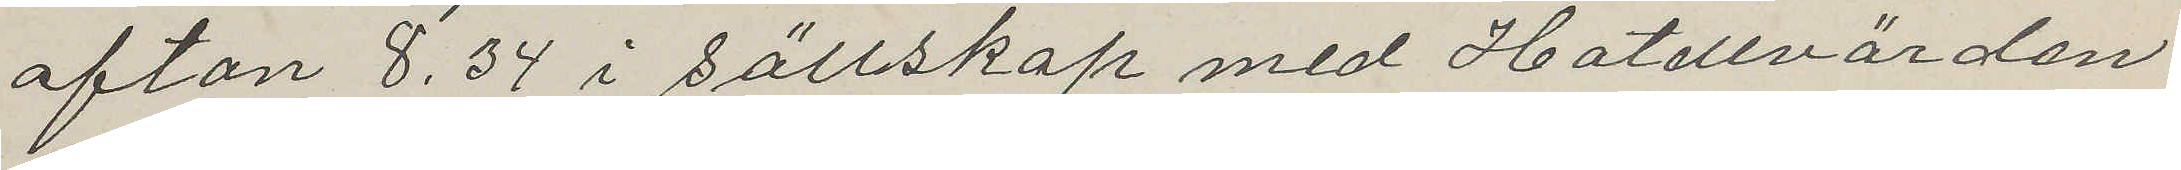afton 8.34 i sällskap med Hotellvärden
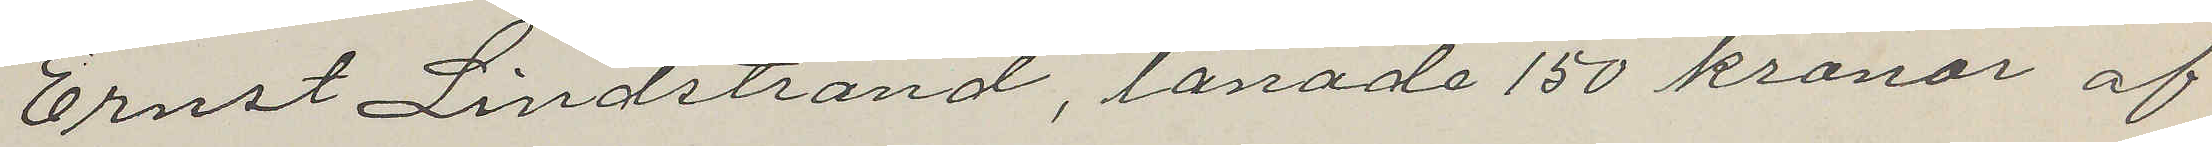Ernst Lindstrand, lånade 150 kronor af
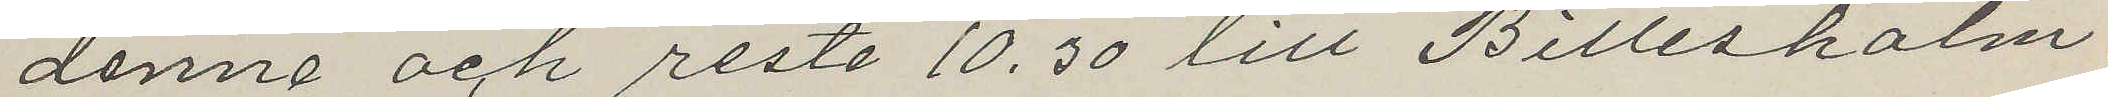denne och reste 10.30 till Billesholm.
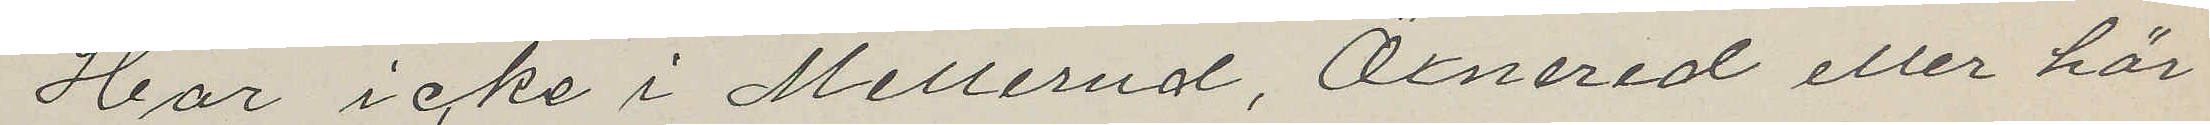Har icke i Mellerud, Öxnered eller här
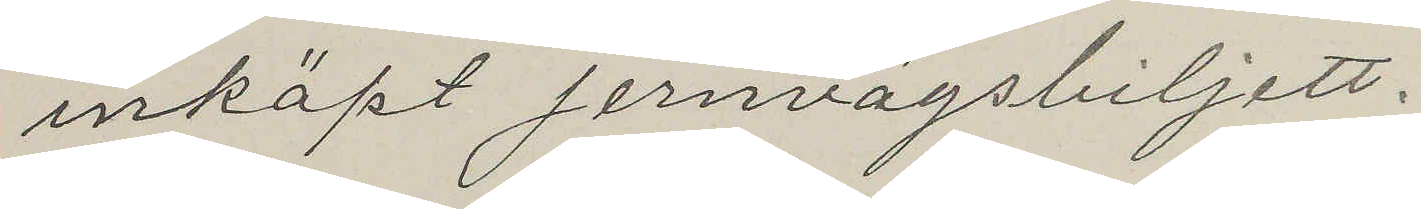inköpt jernvägsbiljett.
